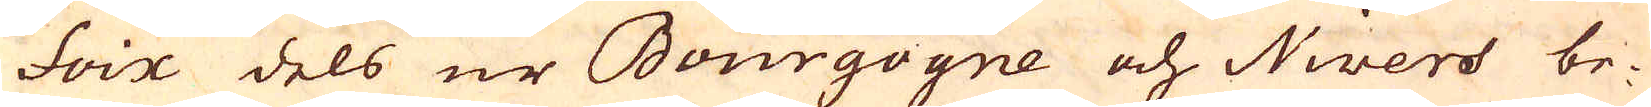Foix dels ur Bourgogne och Nivers be-
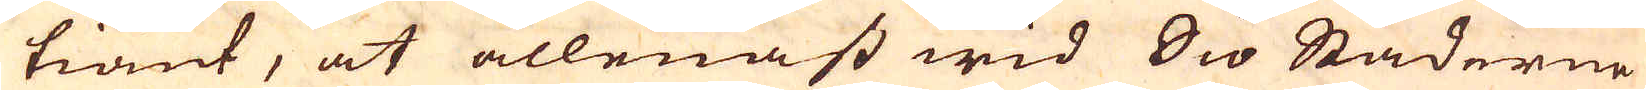tiänt, at allenast wid Sio Städerne
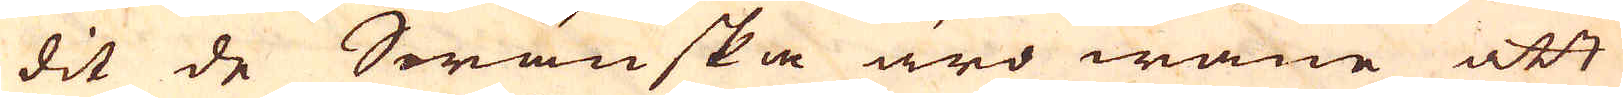dit de Swänska äro wane att
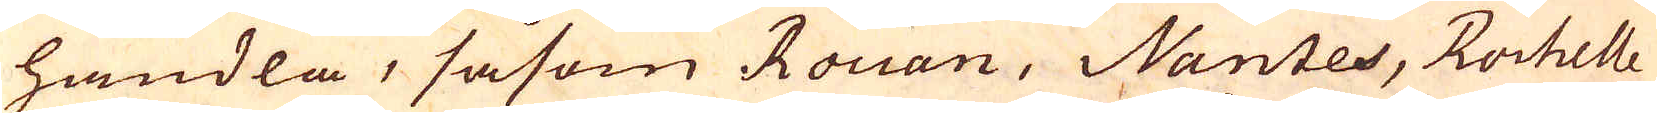handla, såsom Rouan, Nantes, Rochelle
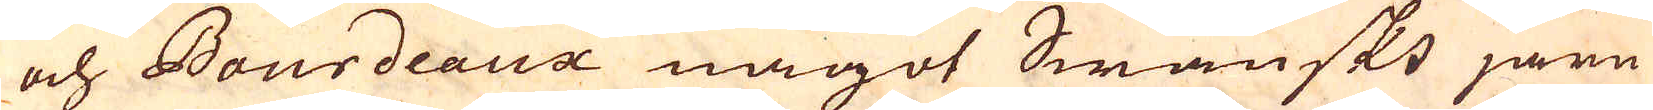och Bourdeaux något Swänskt järn
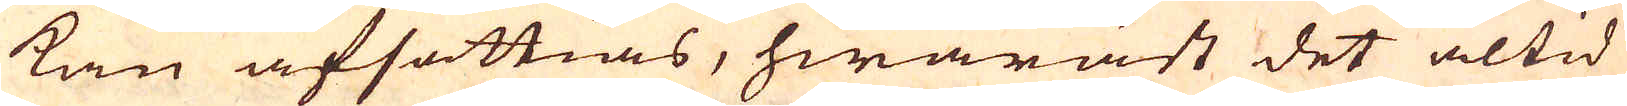kan afsättias, hwaräst det altid
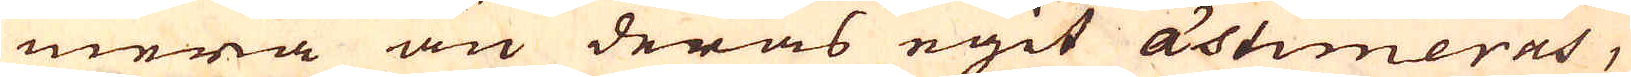mera än deras egit ästimeras,
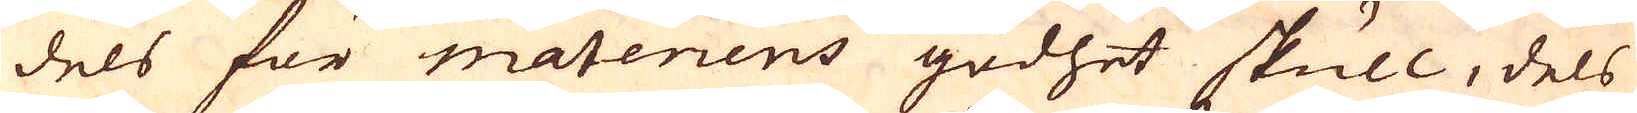dels för materiens godhet skull, dels
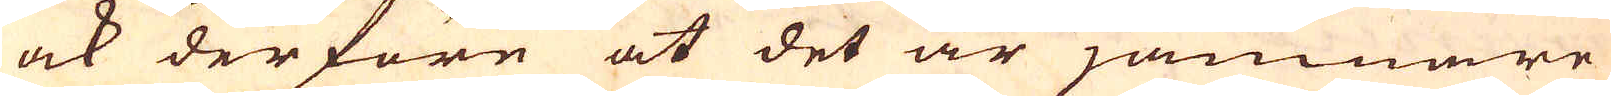ock derföre at det är jämnare
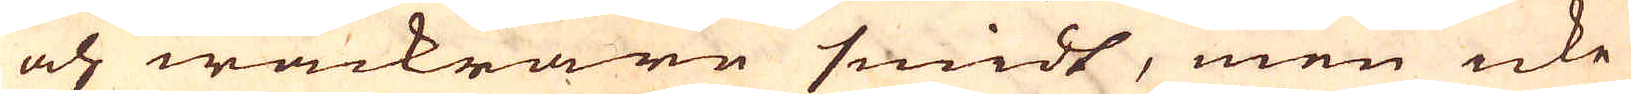och wackrare smidt, men icke
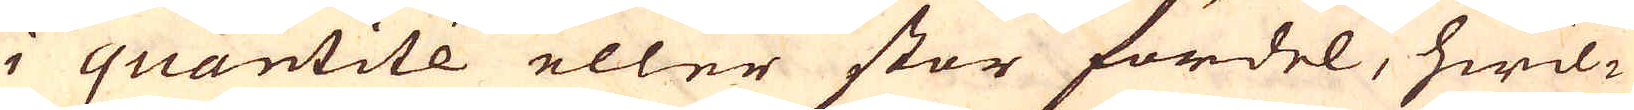i quantité eller stor fördel, hwil-
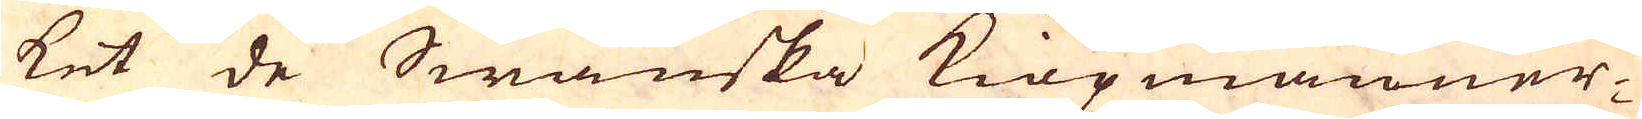ket de Swänska kiöpmänner-
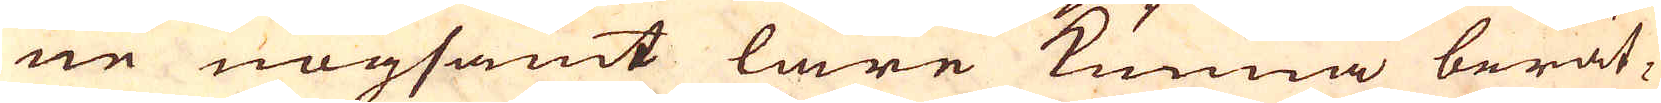ne nogsamt läre kunna berät-
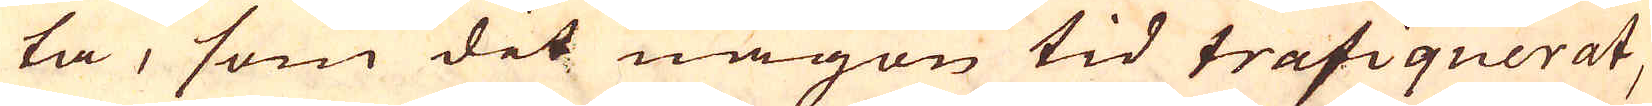ta, som dit någon tid trafiquerat,
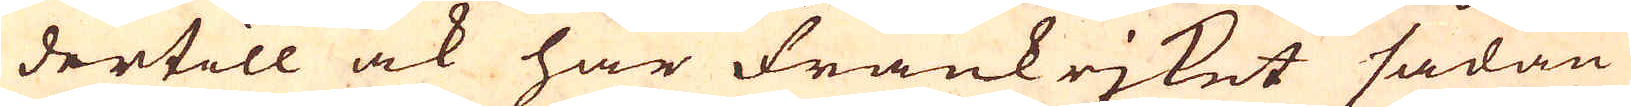dertill ock har Frankrjket sådan
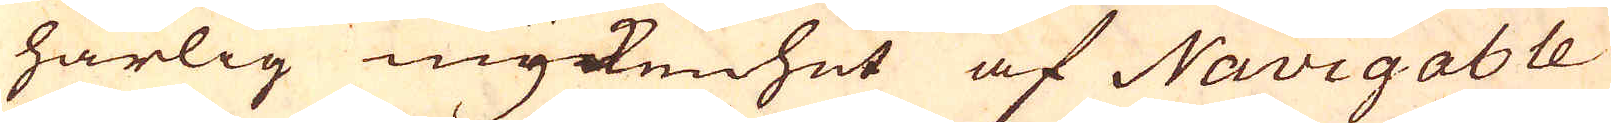härlig myckenhet af Navigable
